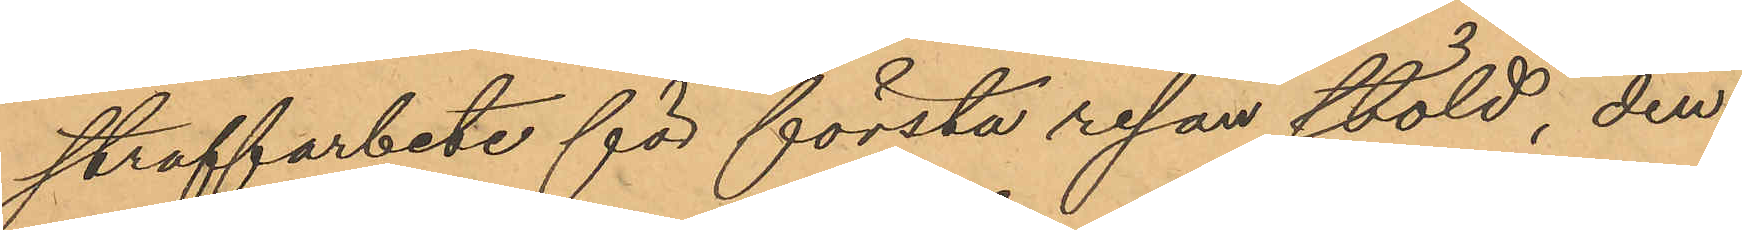straffarbete för första resan stöld, den
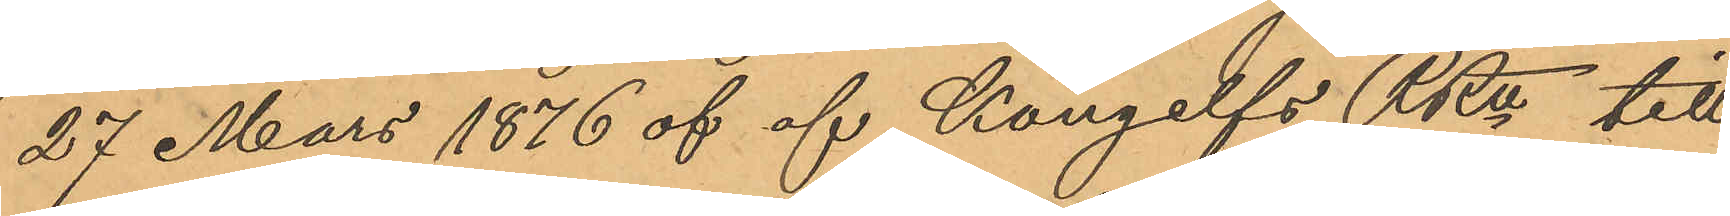27 Mars 1876 af af Kungelfs RRt till
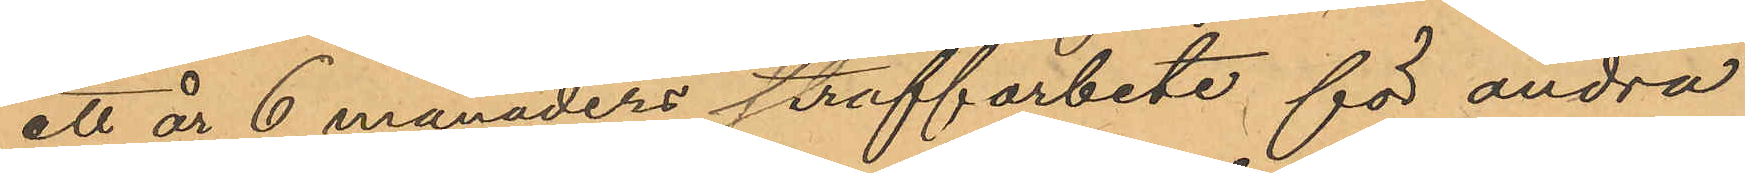ett år 6 månaders straffarbete för andra
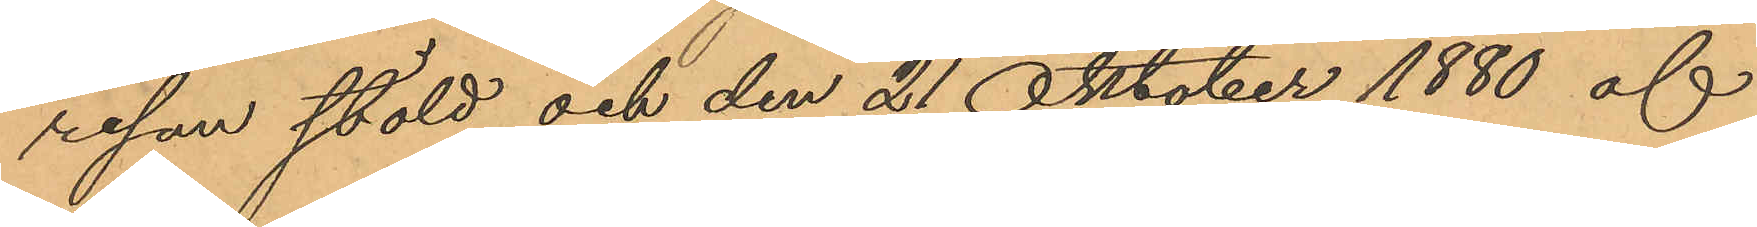resan stöld och den 21 Oktober 1880 af
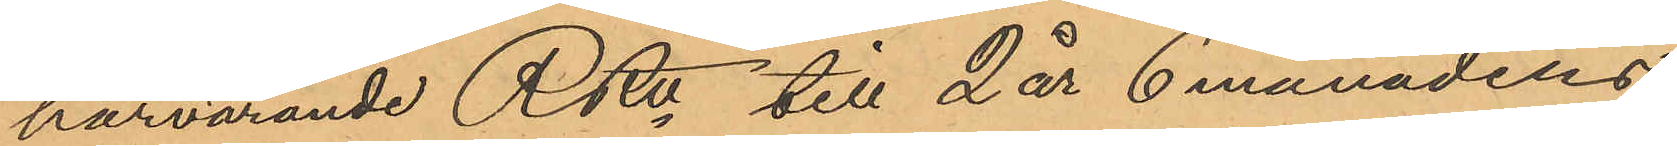härvarande RRt till 2 år 6 månaders
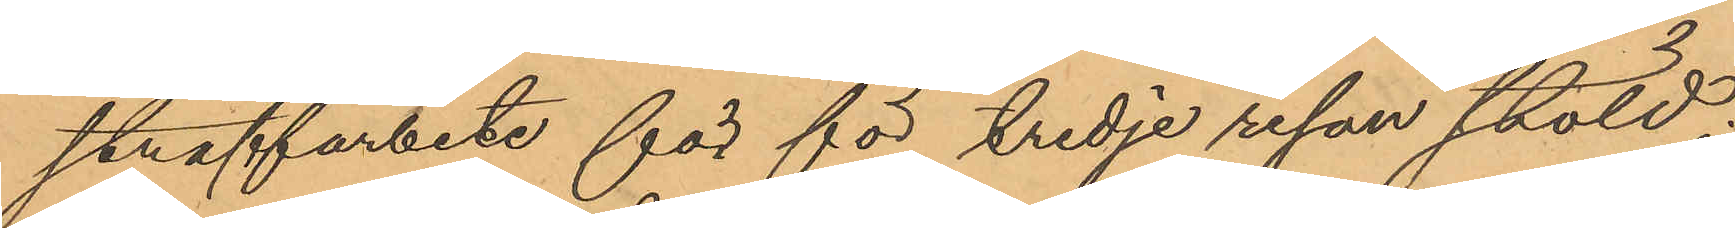straffarbete för för tredje resan stöld;
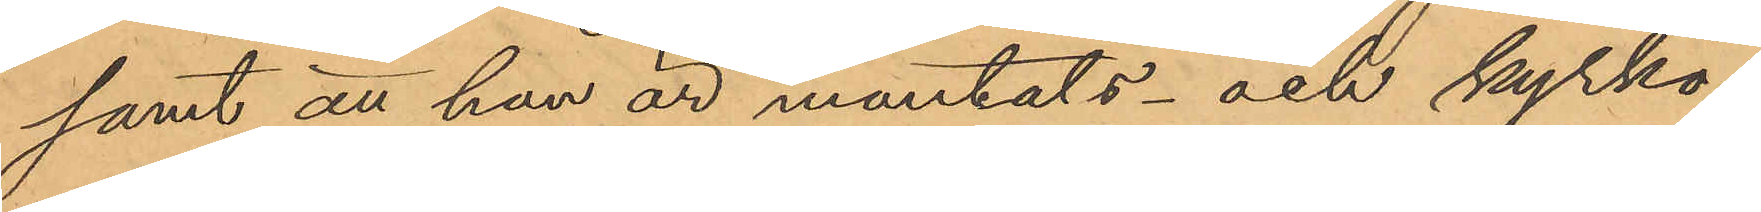samt att han är mantals- och kyrko¬
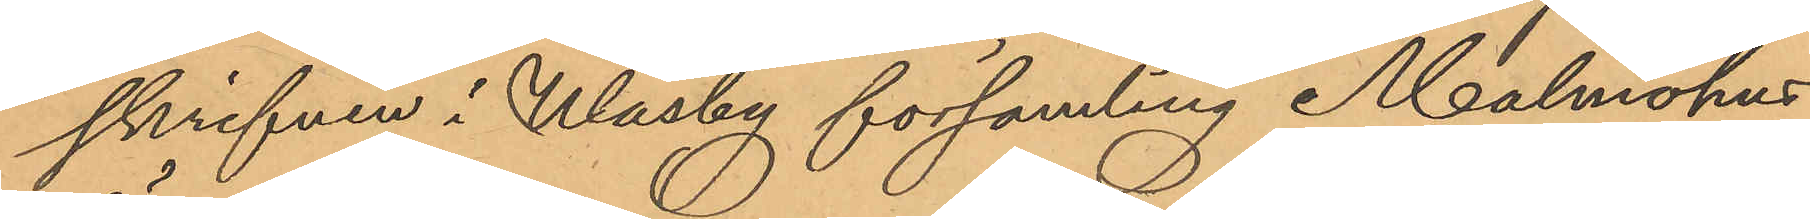skrifven i Wäsby församling Malmöhus
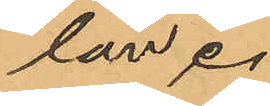län.
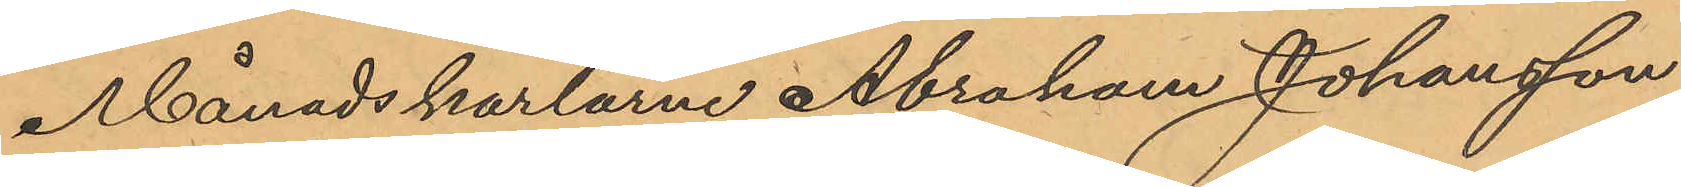Månadskarlarne Abraham Johansson
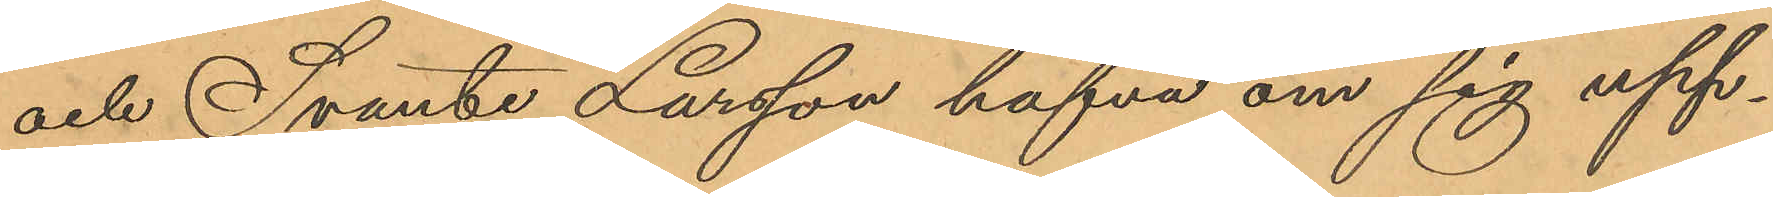och Svante Larsson hafva om sig upp¬
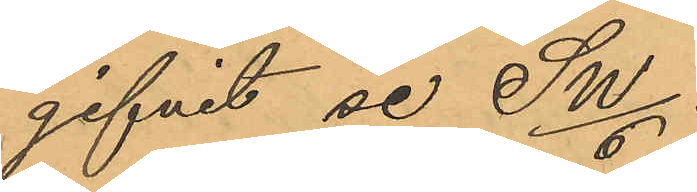gifvit se Sw/6.
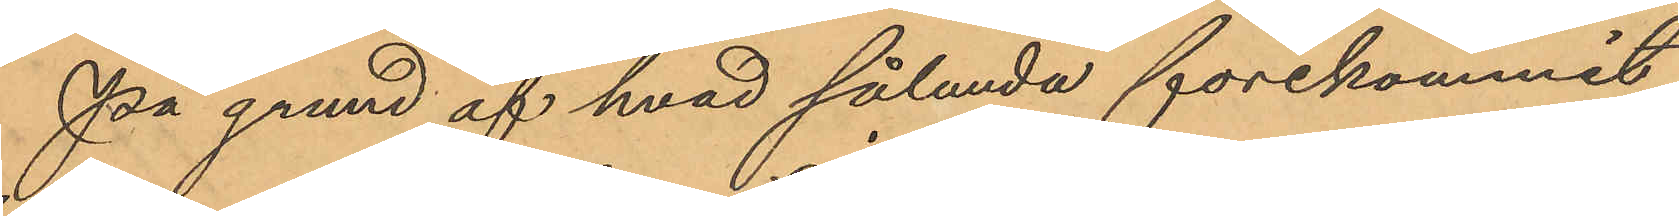På grund af hvad sålunda förekommit
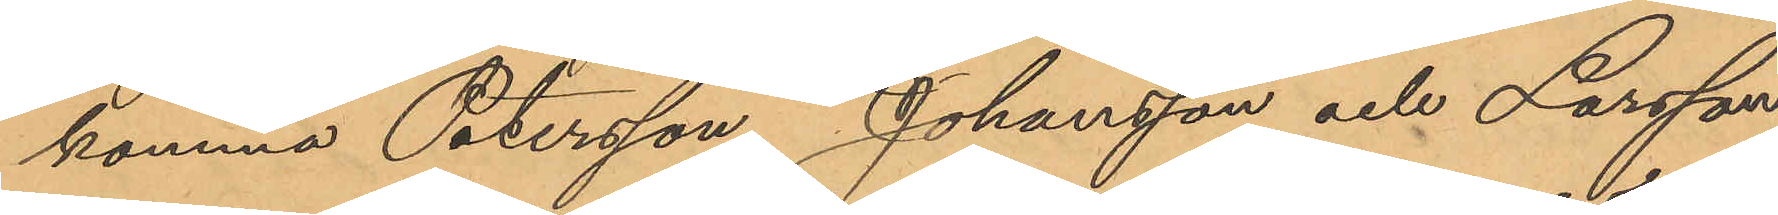komma Petersson, Johansson och Larsson
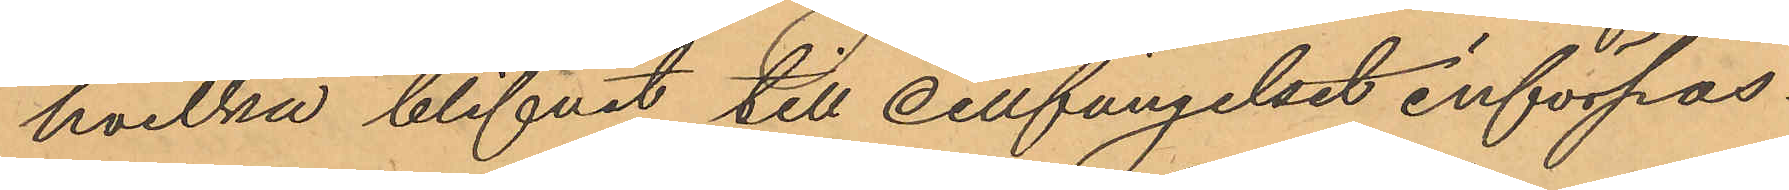hvilka blifvit till cellfängelset införpas¬
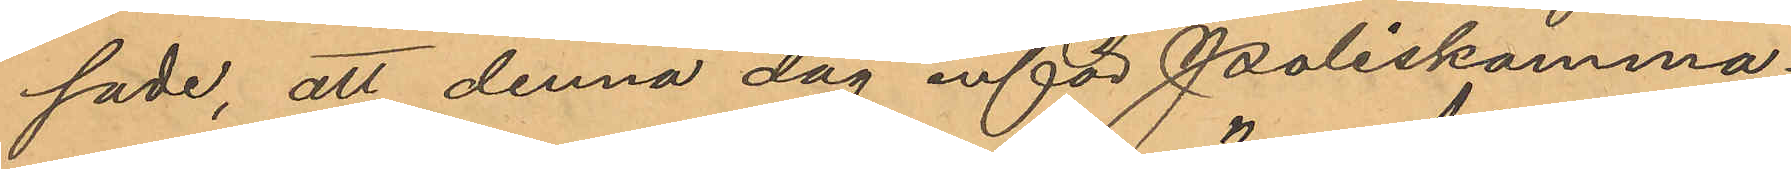sade, att denna dag inför Poliskamma¬
